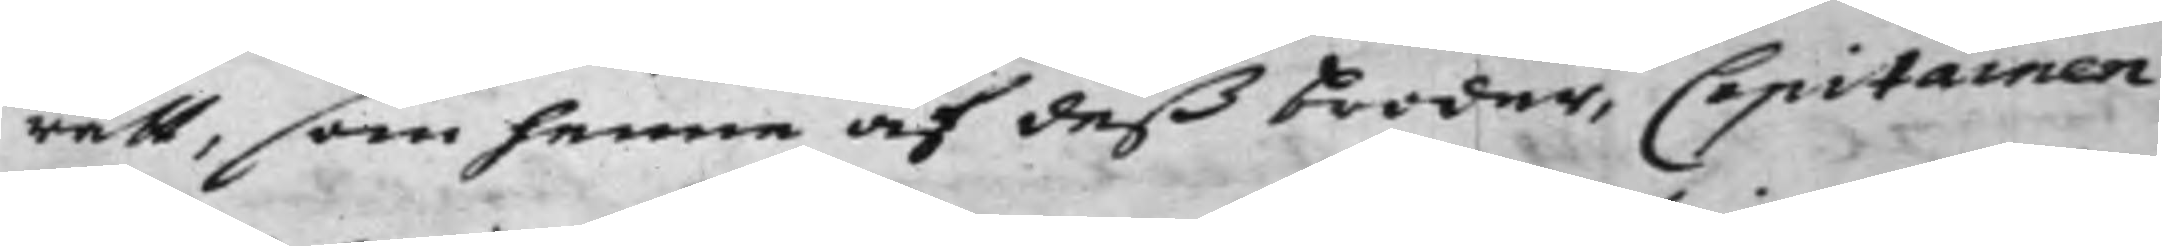rätt, som henne af deß broder, Capitainen
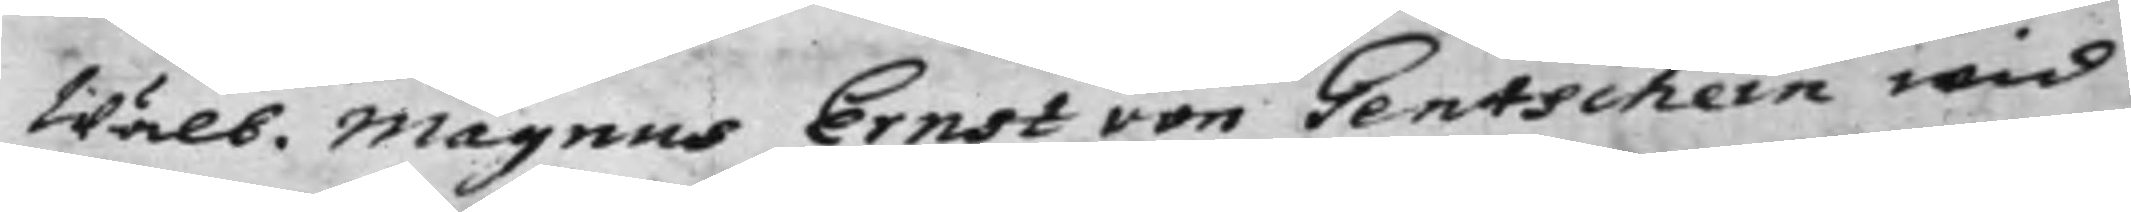Wälb. Magnus Ernst von Gentschein wid
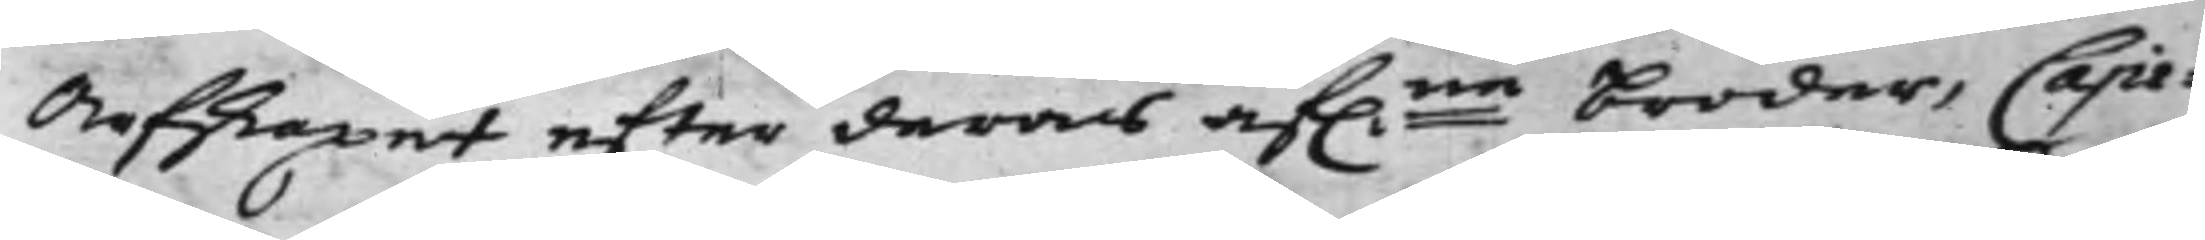Arfskapet efter deras af.ne broder, Capi¬
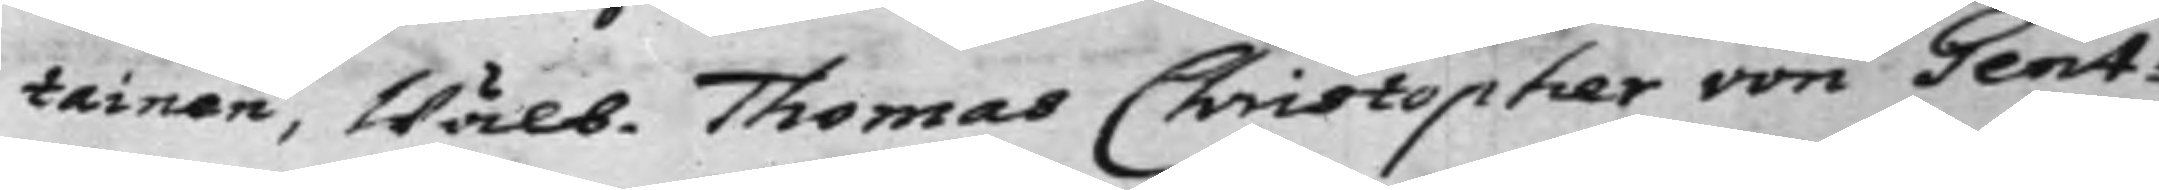tainen, Wälb. Thomas Christopher von Gent¬
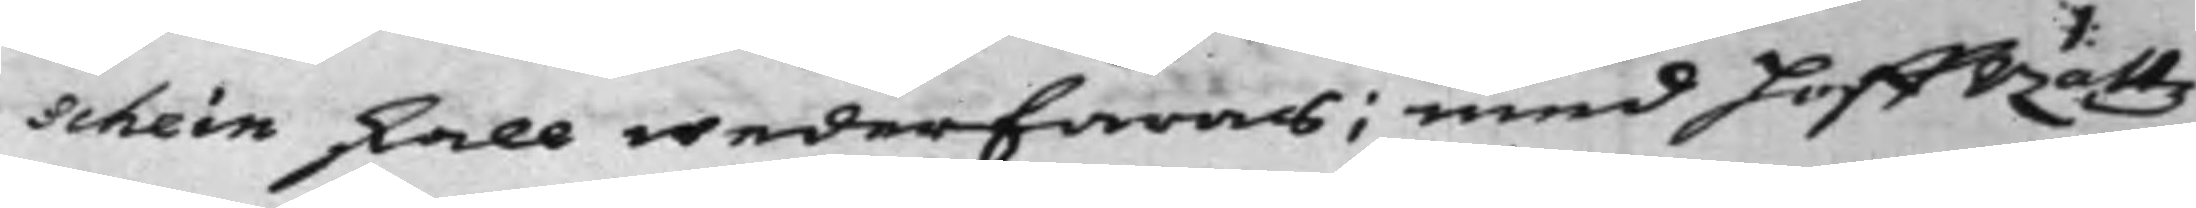schein skall wederfaras; med HoffRättz
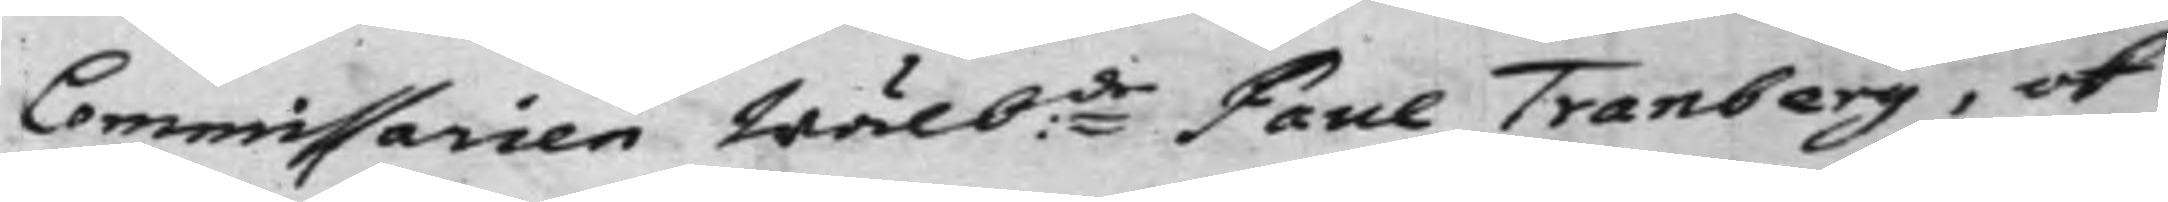Commissarien Wälb:de Paul Tranberg, ok
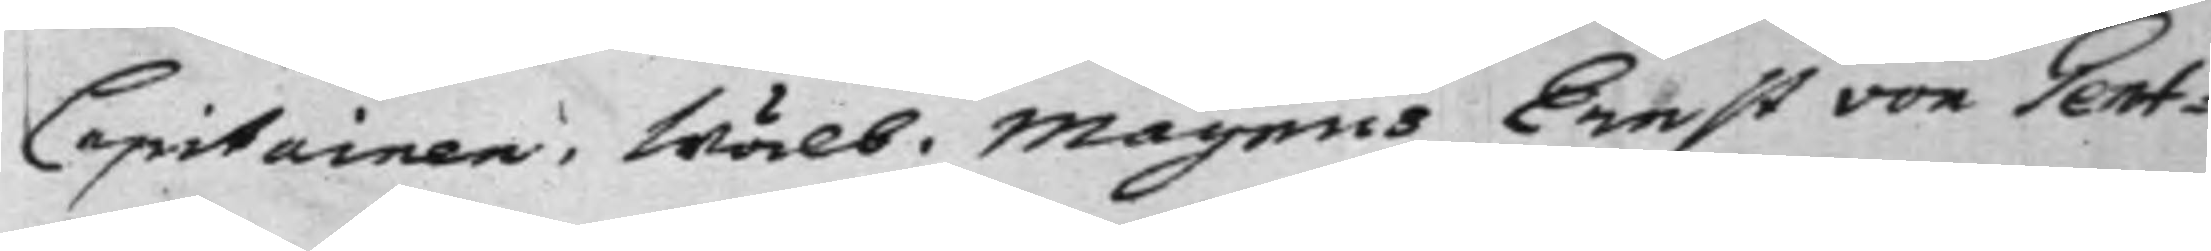Capitainen, Wälb. Magnus Ernst von Gent¬
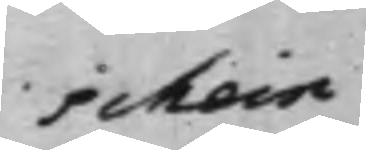schein
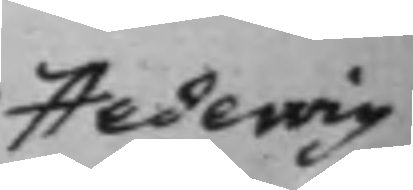Hedewig
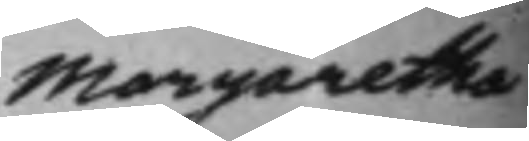Margaretha
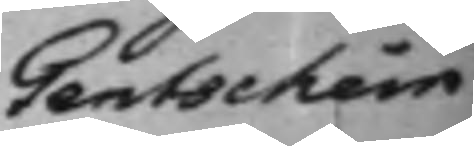Gentschein
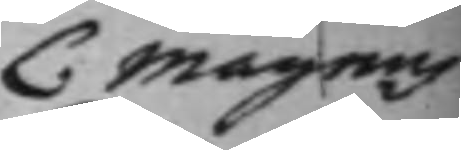C Magnus
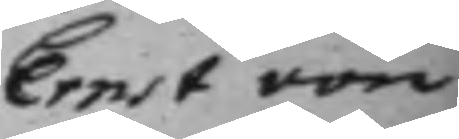Ernst von
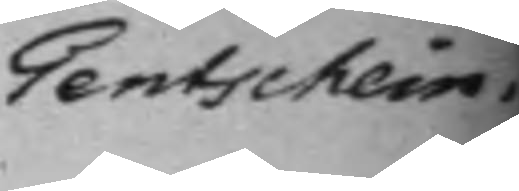Gentschein.
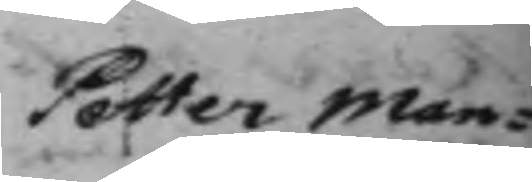Petter Man¬
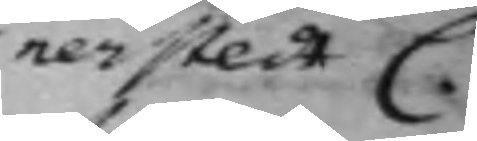nerstedt C.
